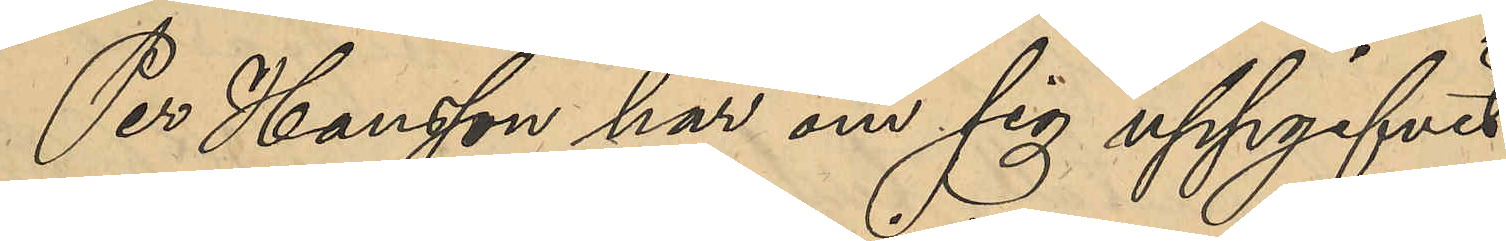Per Hansson har om sig uppgifvit
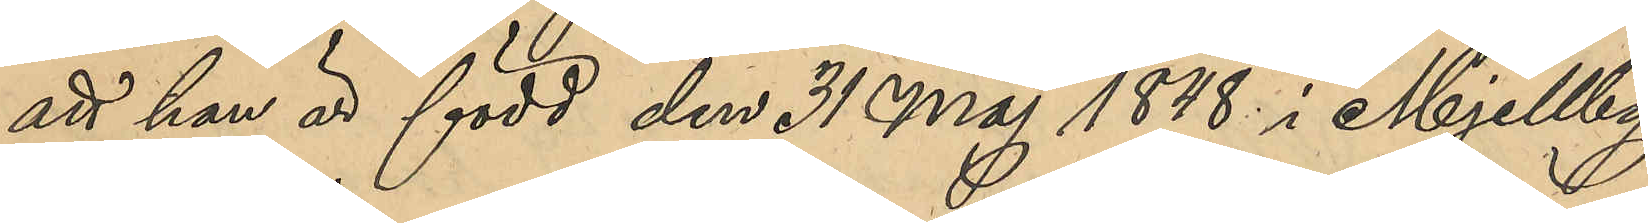att han är född den 31 Maj 1848 i Mjellby
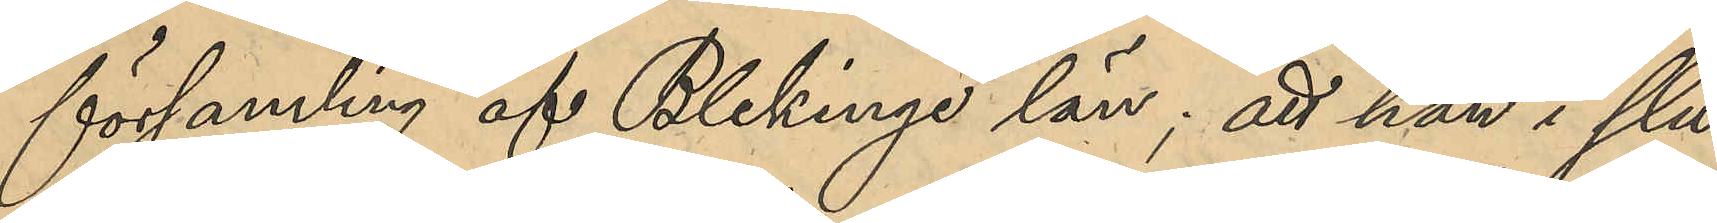församling af Blekinge län; att han i slu¬
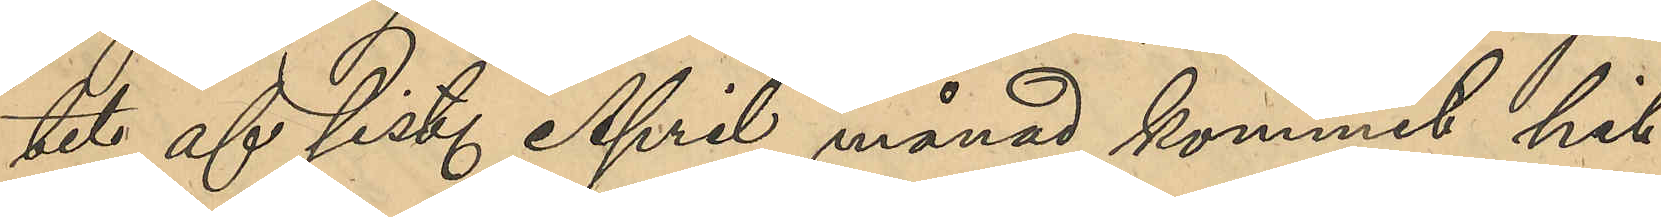tet af sist. April månad kommit hit
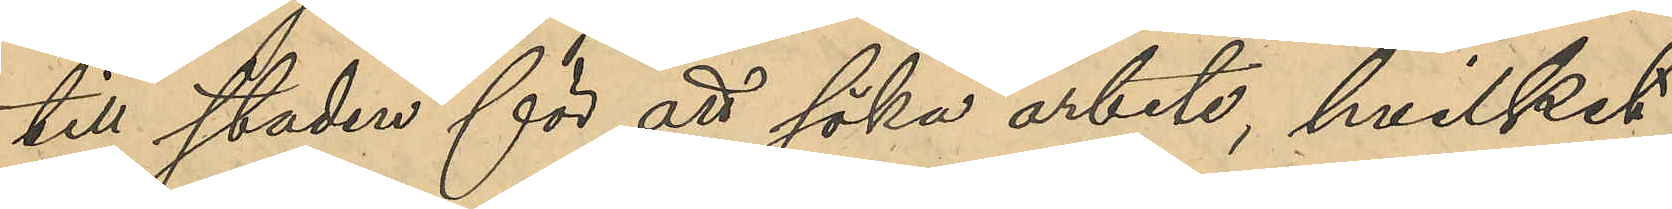till staden för att söka arbete, hvilket
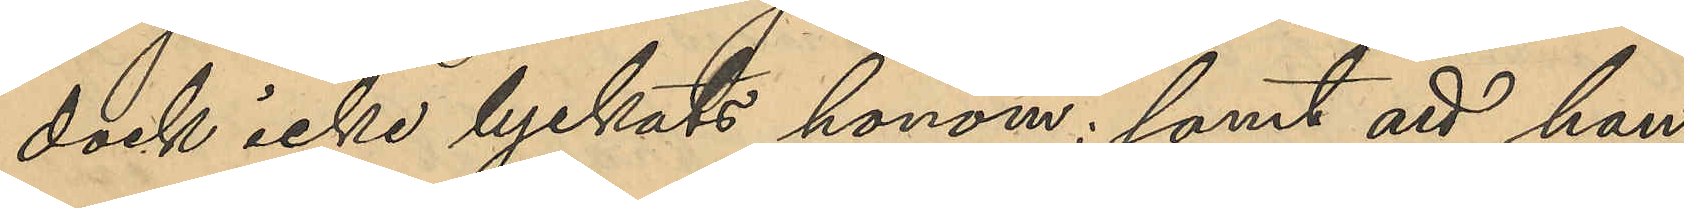dock icke lyckats honom; samt att han 
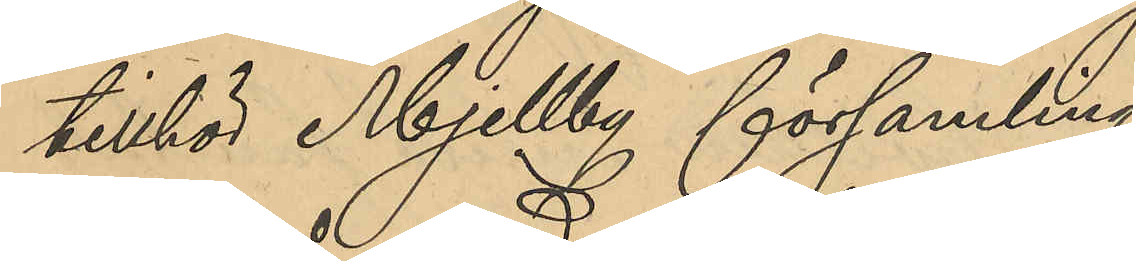tillhör Mjellby församling.
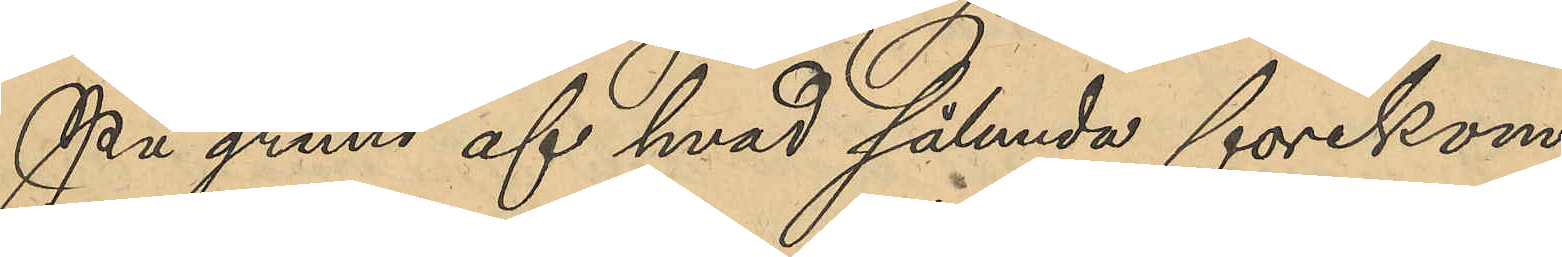På grund af hvad sålunda forekom¬
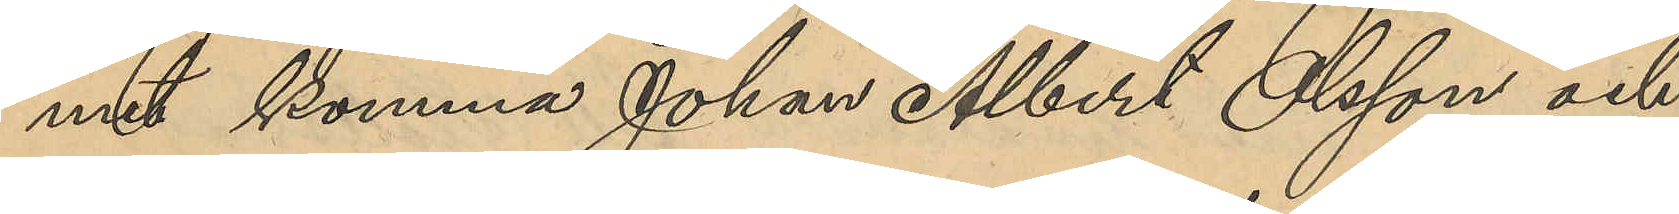mit komma Johan Albert Olsson och
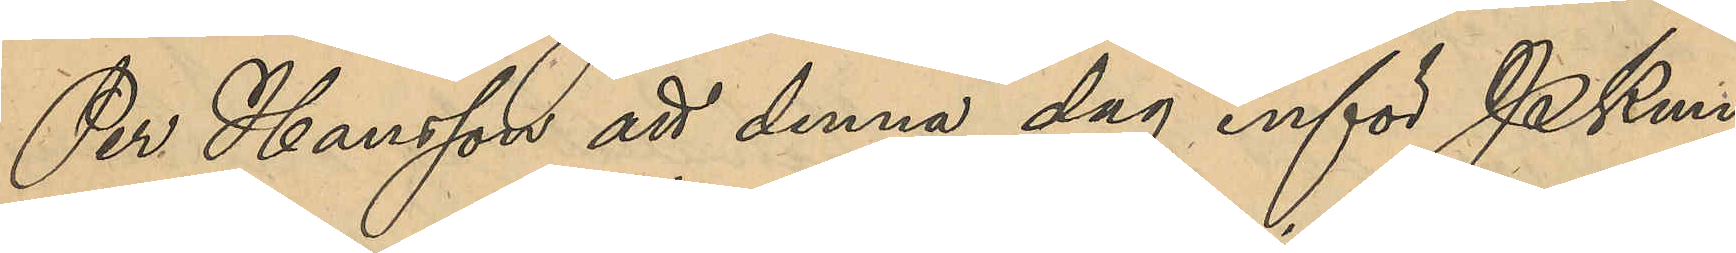Per Hansson att denna dag inför PKmn
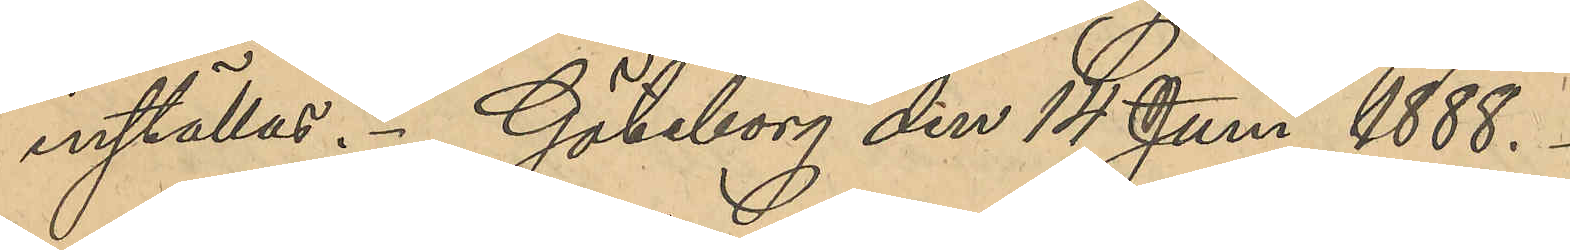inställas. Göteborg den 14 Juni 1888.
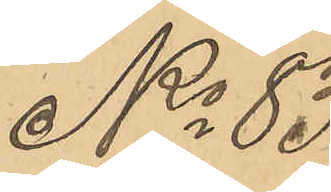No 83
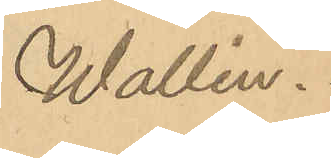Wallin.
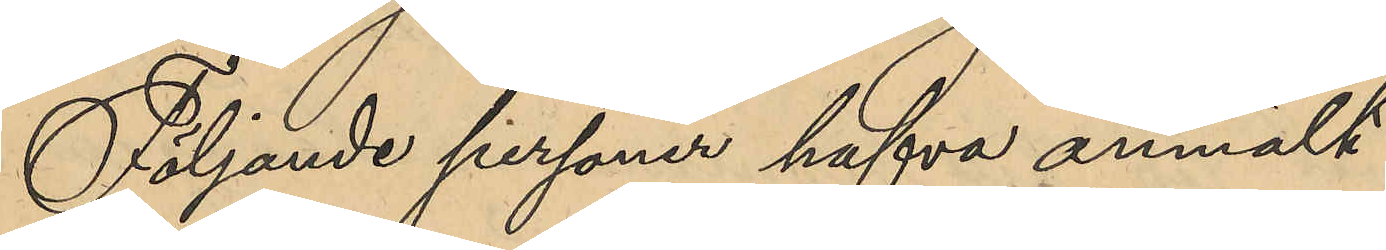Följande personer hafva anmält:
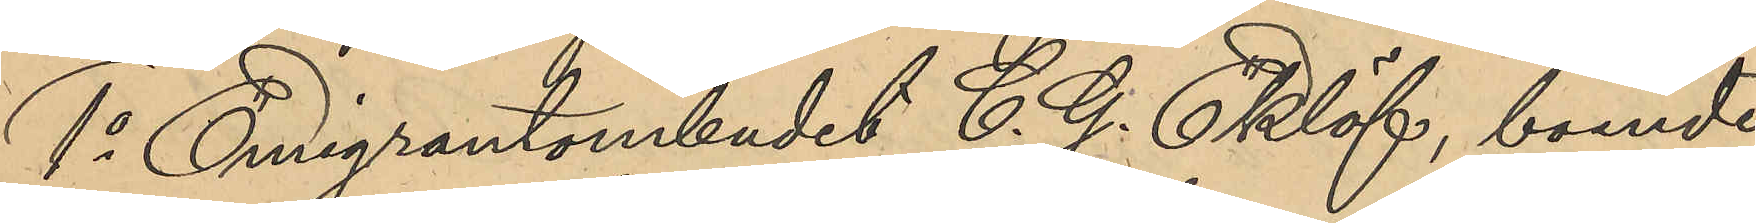1o Emigrantombudet C. G. Eklöf, boende
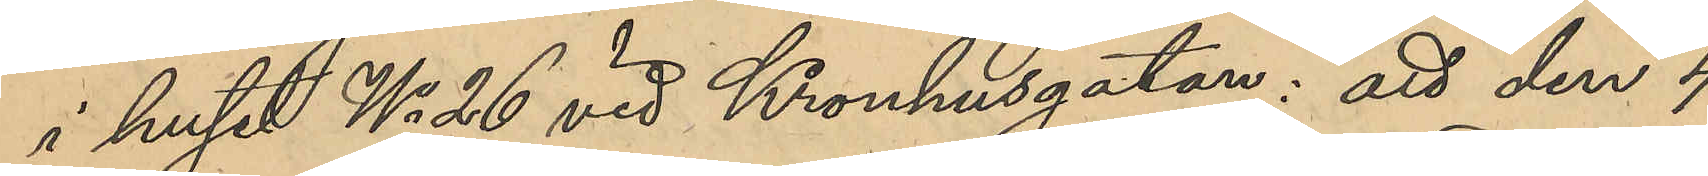i huset No 26 vid Kronhusgatan: att den 4
